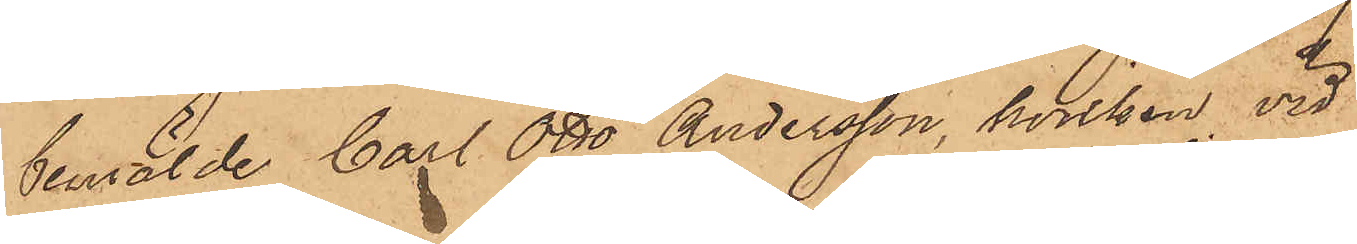bemälde Carl Otto Andersson, hvilken vid
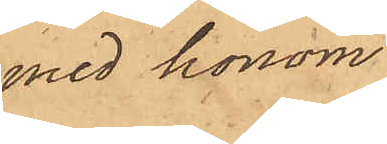med honom
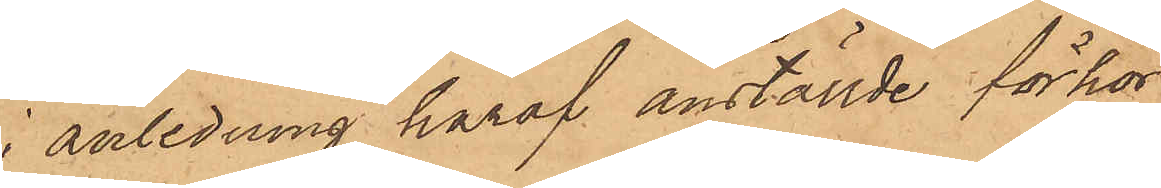i anledning häraf anställde förhör
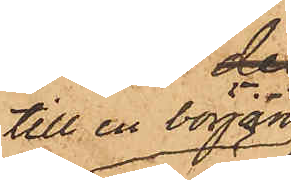till en början
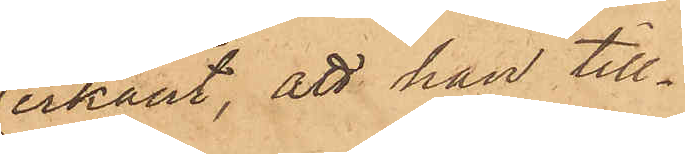erkänt, att han till¬
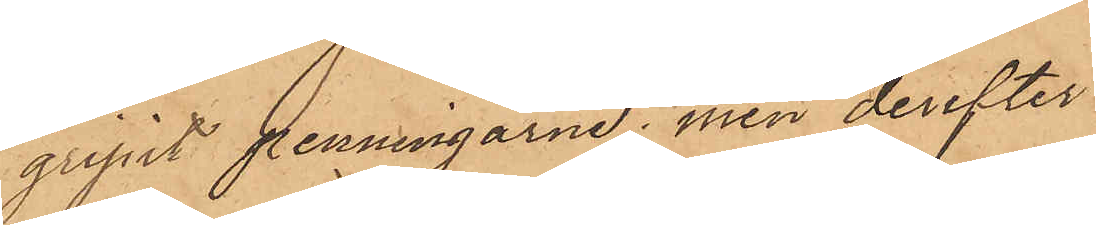gripit penningarne, men derefter
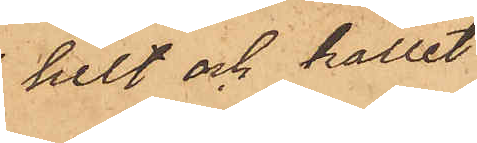helt och hållet
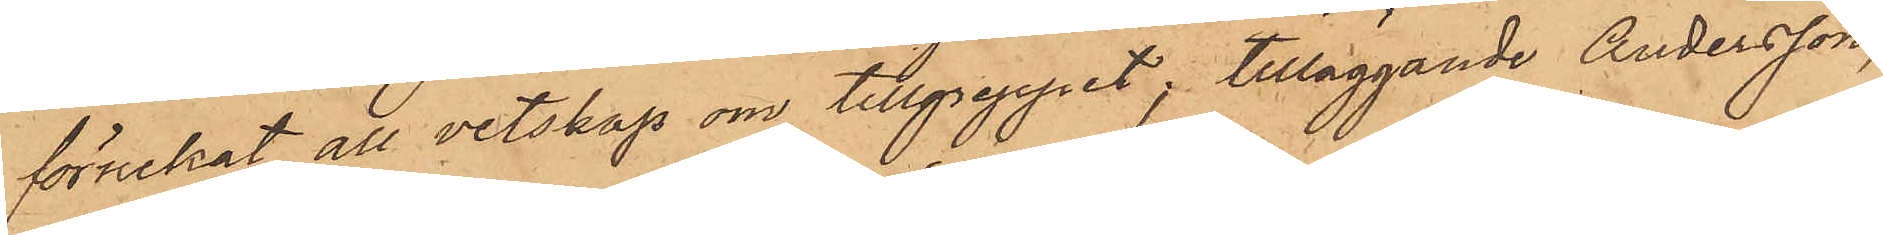förnekat all vetskap om tillgreppet; tilläggande Andersson,
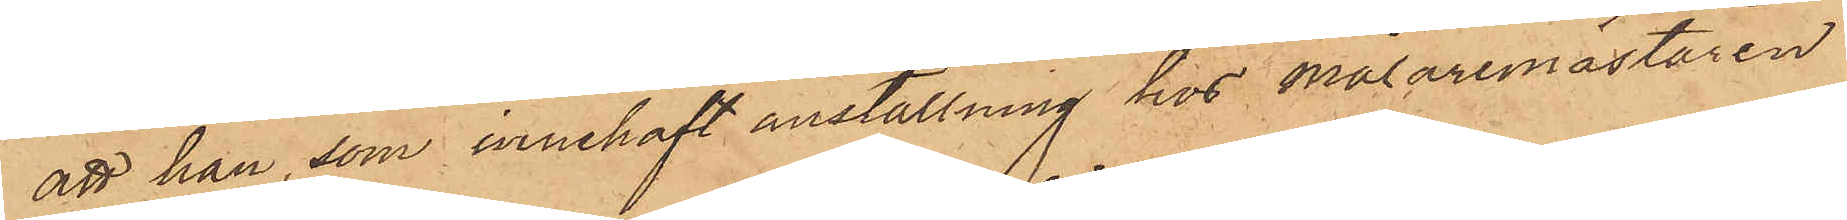att han, som innehaft anställning hos målaremästaren
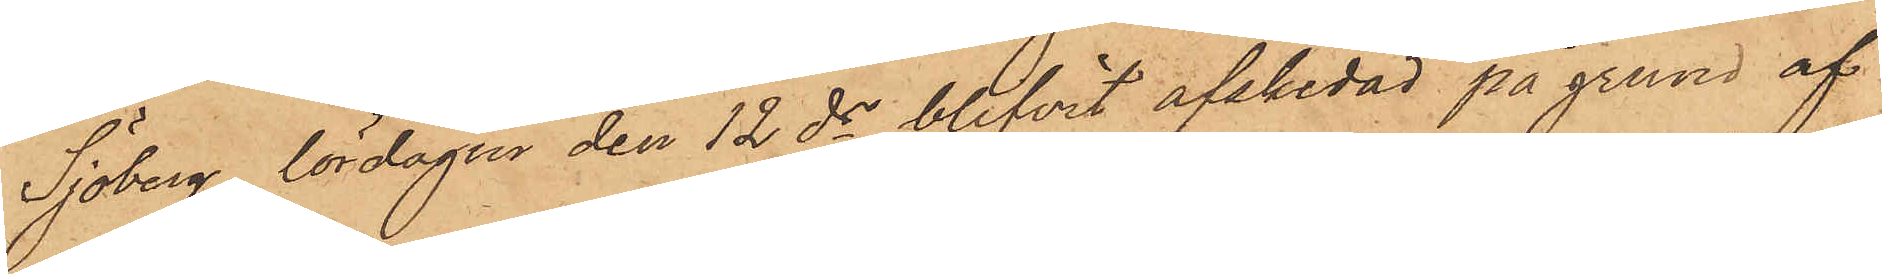Sjöberg, lördagen den 12 ds blifvit afskedad på grund af
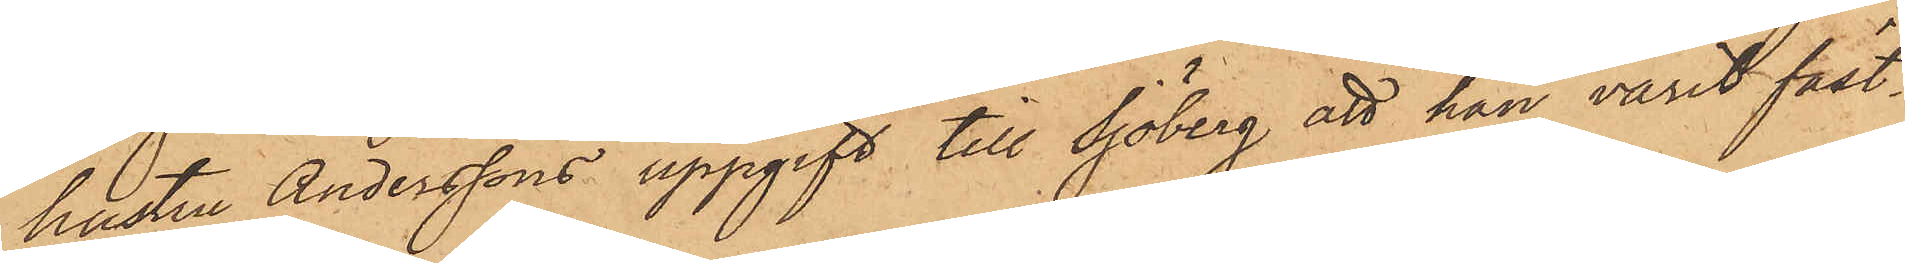hustru Anderssons uppgift till Sjöberg att han varit fäst¬
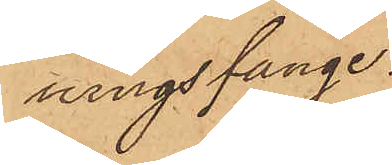ningsfånge.
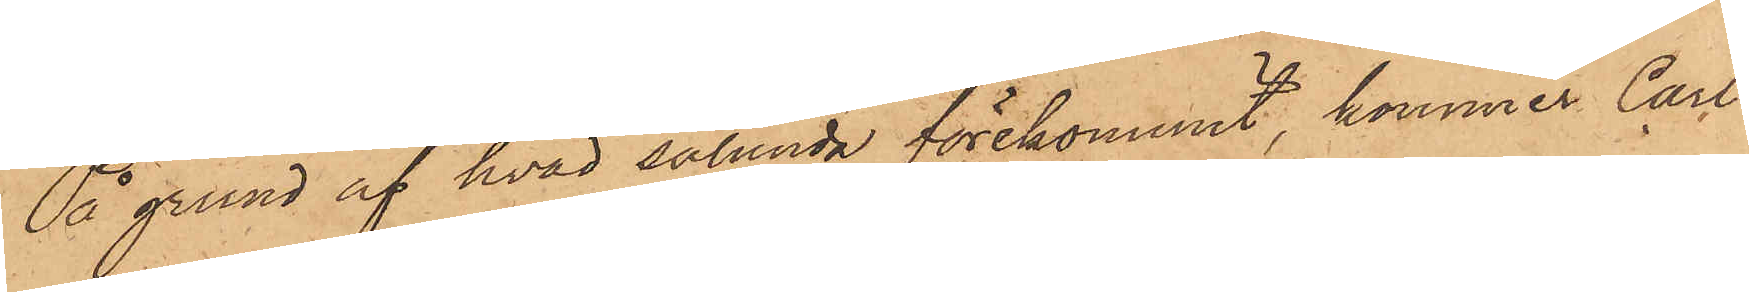På grund af hvad sålunda förekommit, kommer Carl
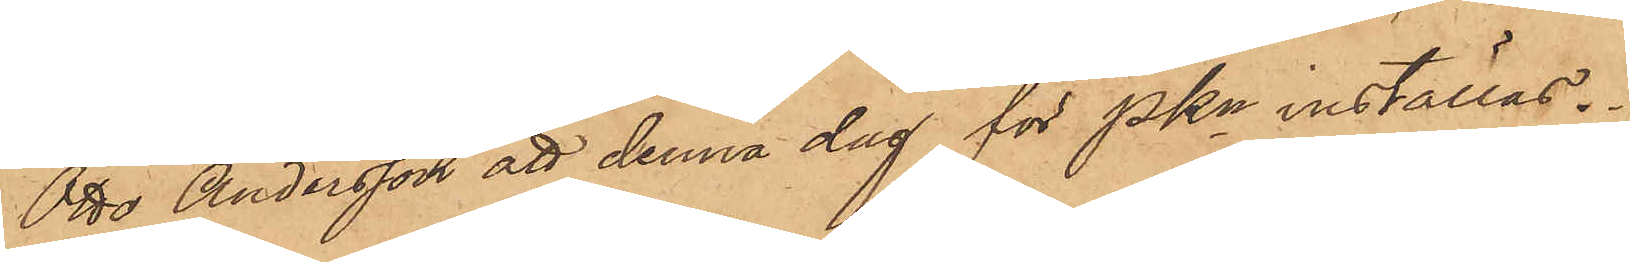Otto Andersson att denna dag för PKn inställas.
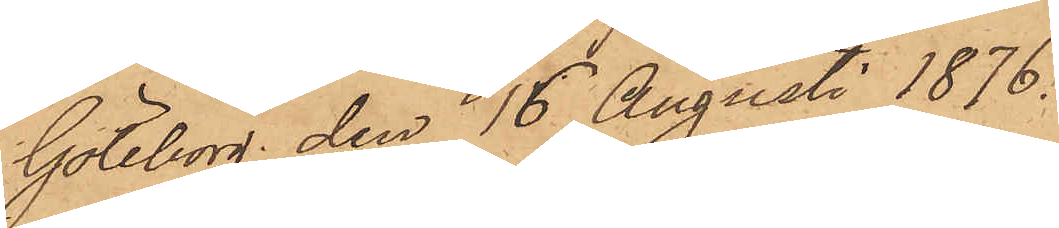Göteborg den 16 Augusti 1876.
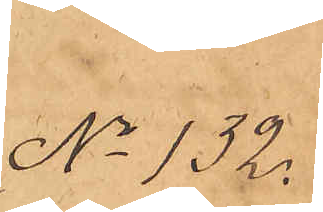No 132.
